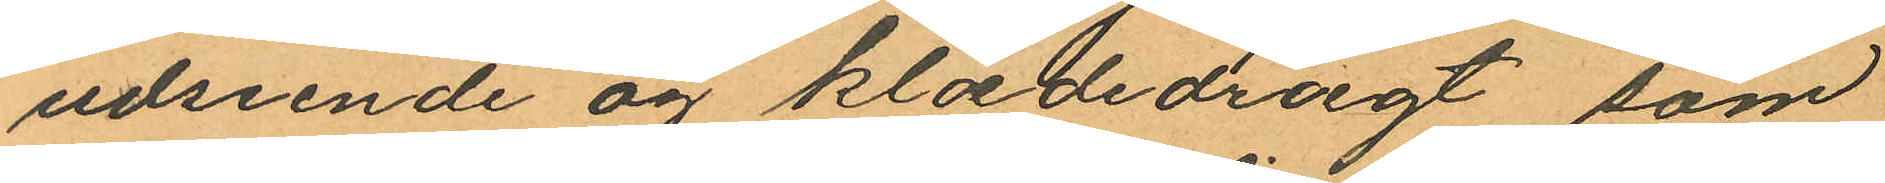udseende än klædedrægt som
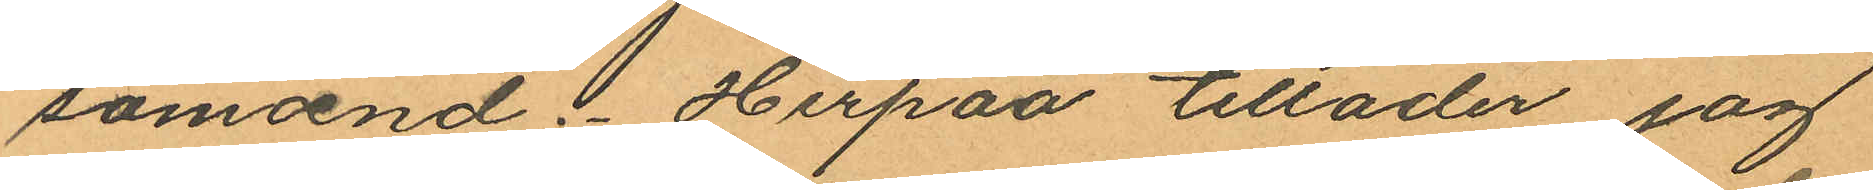sömænd . Herpaa tillader jag
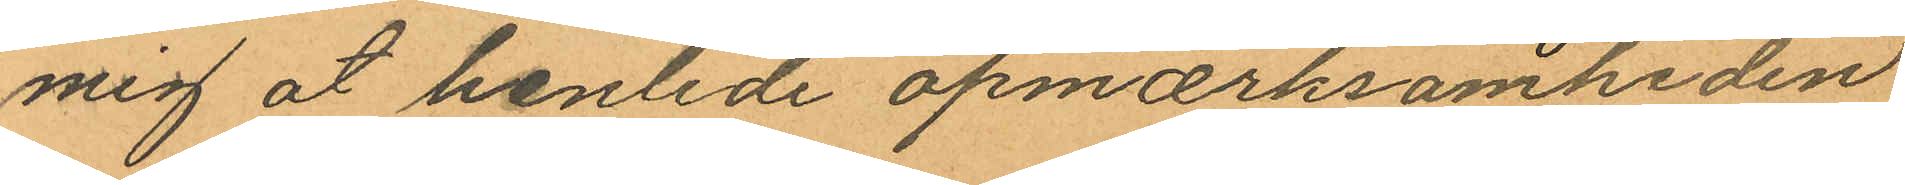mig åt henlide opmærksamheden
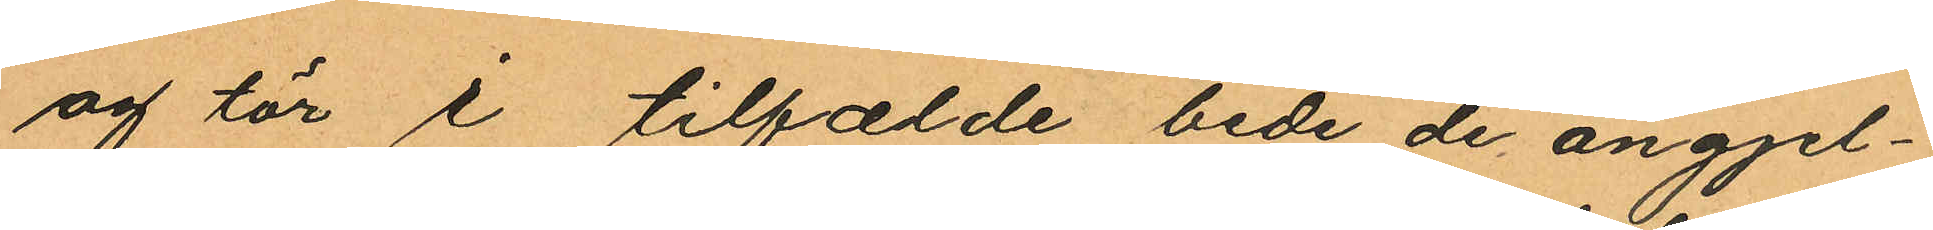og tör i tilfælde bede de angjel¬
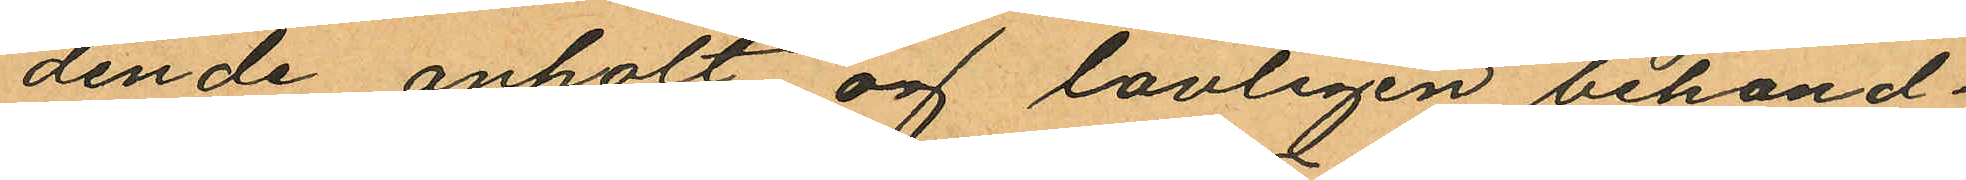dende anholt og lavligen behand¬
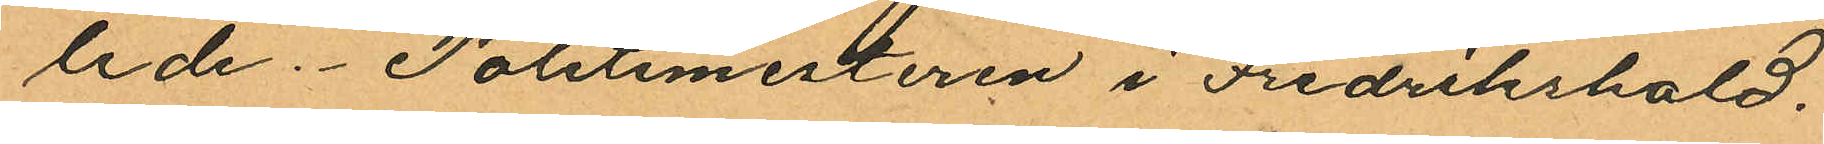lede. Politimesteren i Fredrikshald.
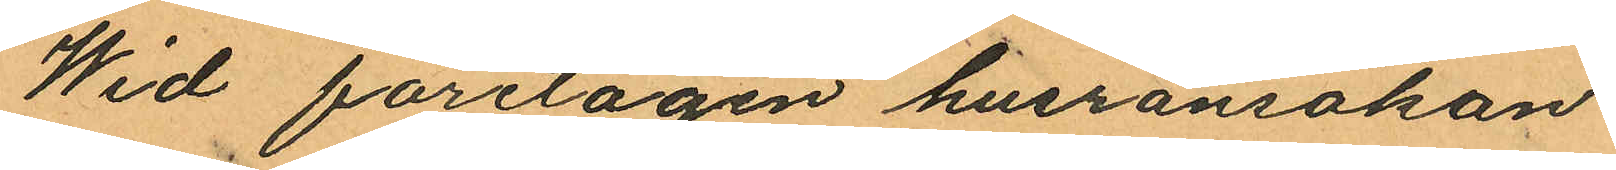Wid företagen husransakan
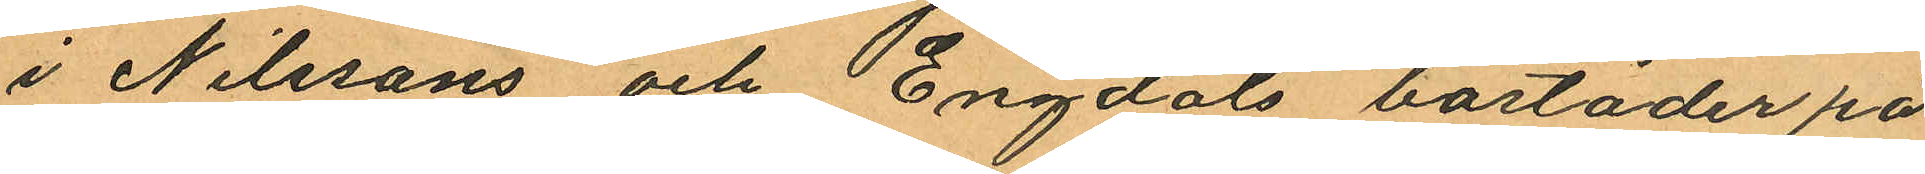i Nilssons och Engdals bostäder på
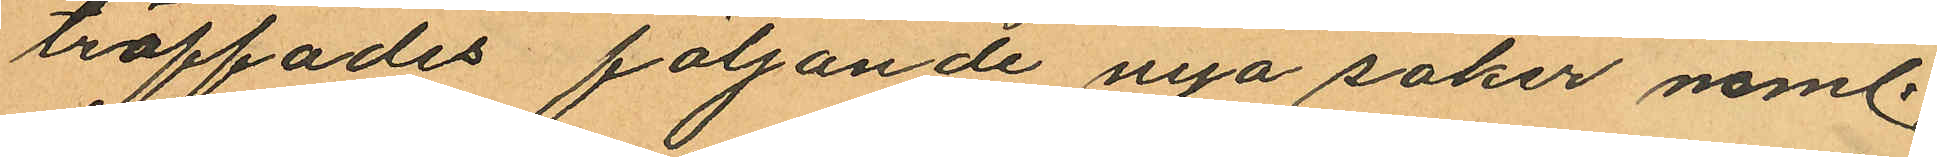träffades följande nya saker neml.
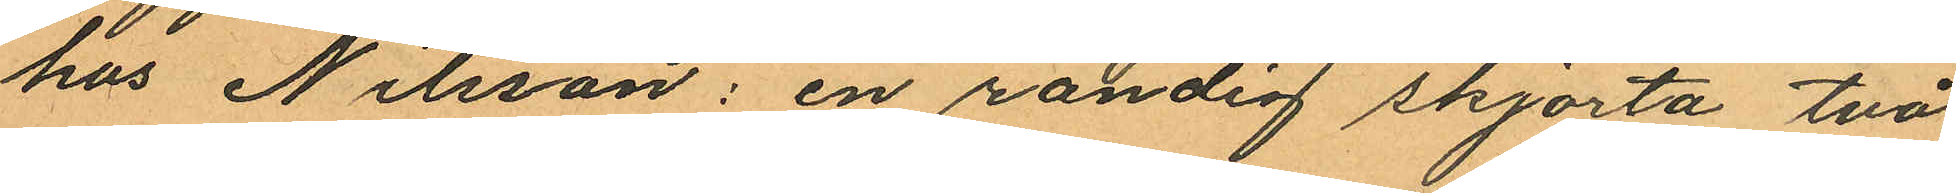hos Nilsson: en randig skjorta två
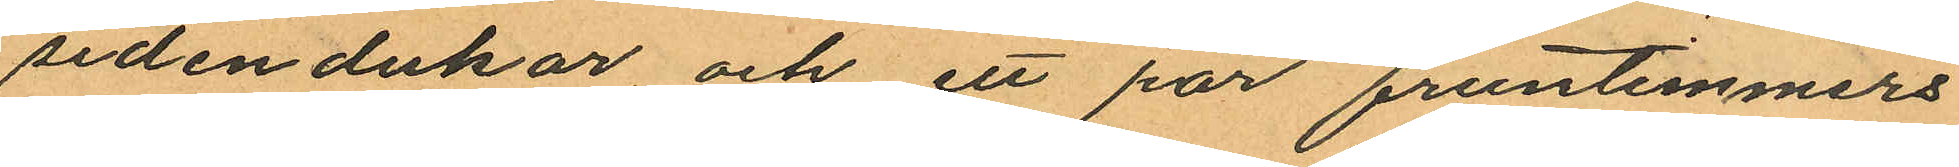sidendukar, och ett par fruntimmers
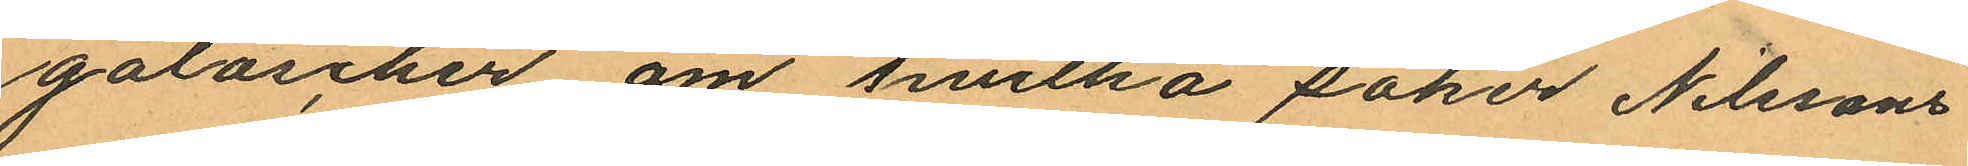galoscher om hvilka saker Nilssons
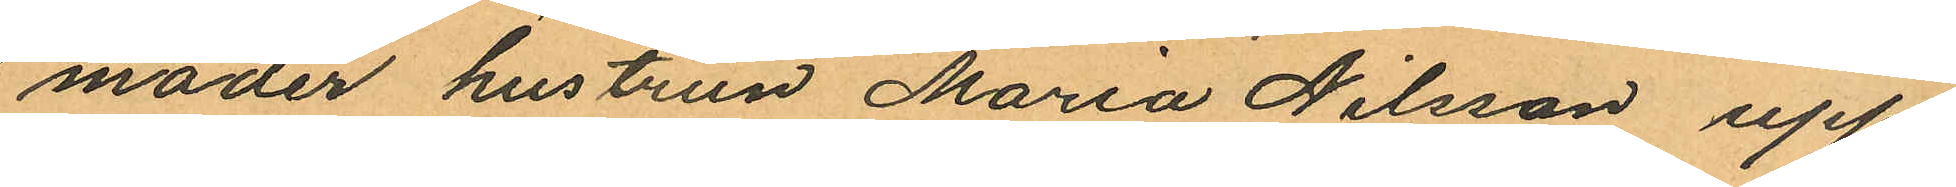moder hustrun Maria Nilsson upp¬
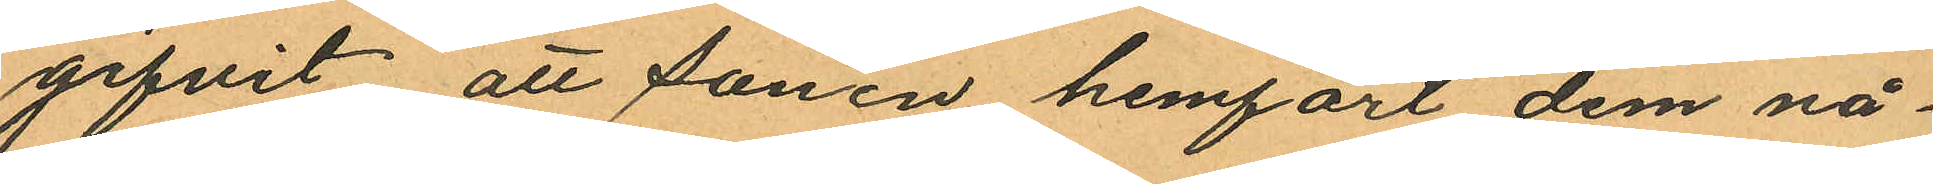gifvit att sonen hemfört dem nå¬
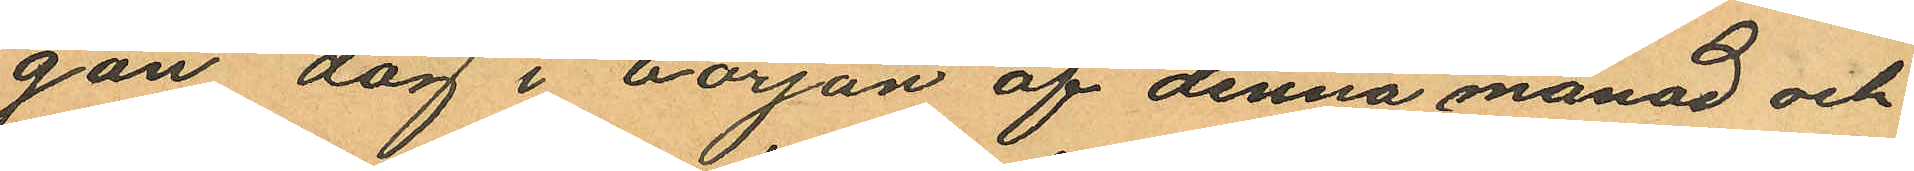gan dag i början af denna månad och
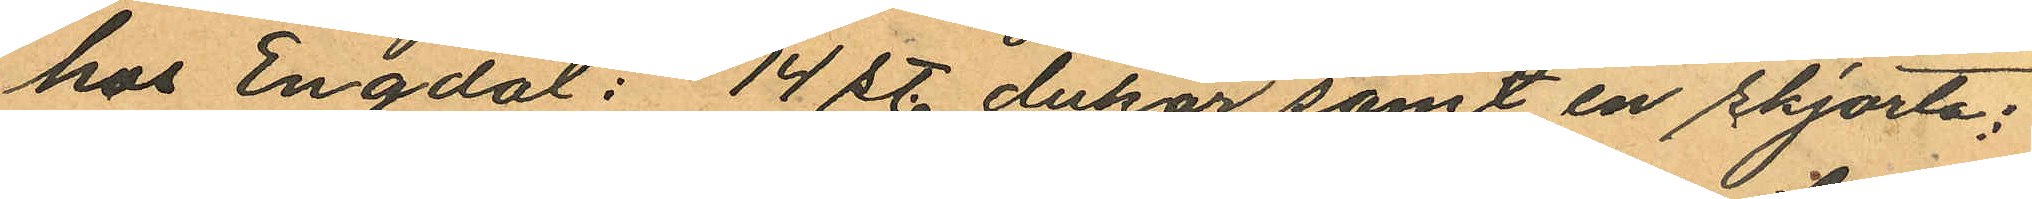hos Engdal: 14 st. dukar samt en skjorta;
